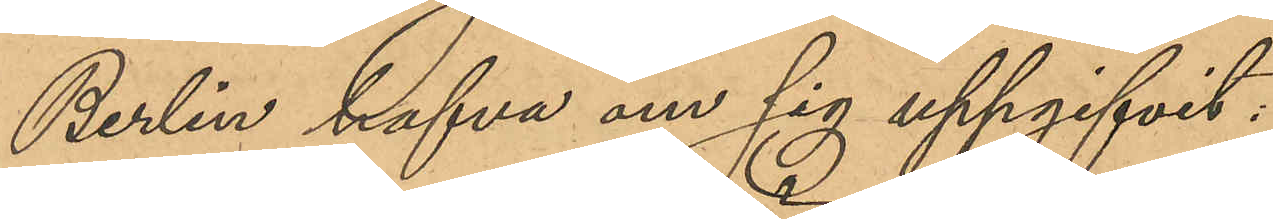Berlin hafva om sig uppgifvit:
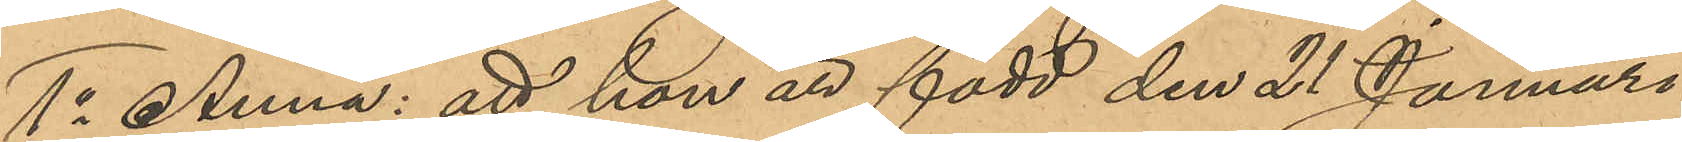1o Anna: att hon är född den 21 Januari
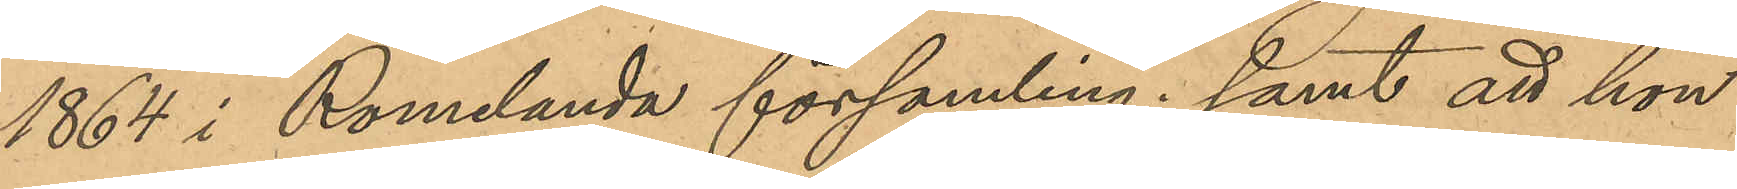1864 i Romelanda församling; samt att hon
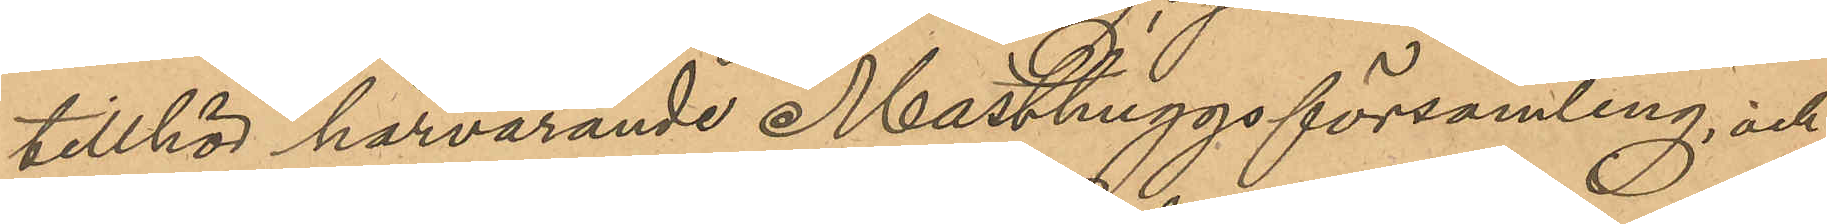tillhör härvarande Masthuggs församling; och
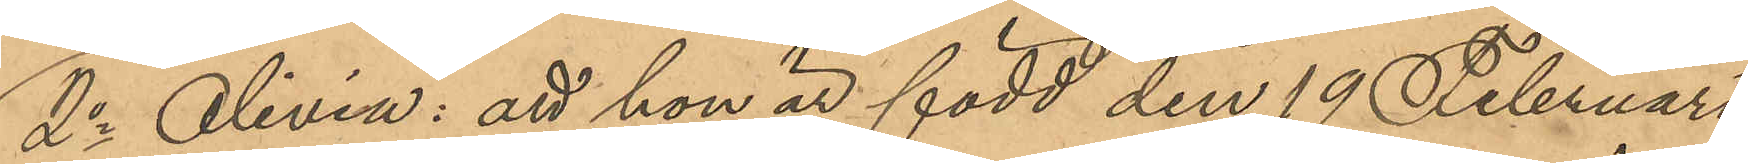2o Olivia: att hon är född den 19 Februari
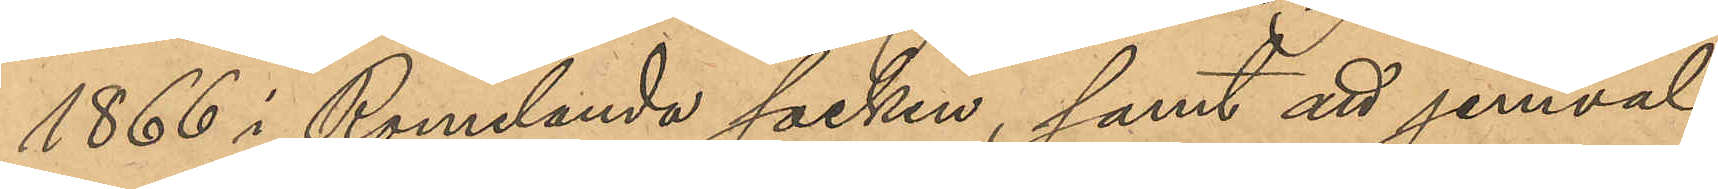1866 i Romelanda socken, samt att jemväl
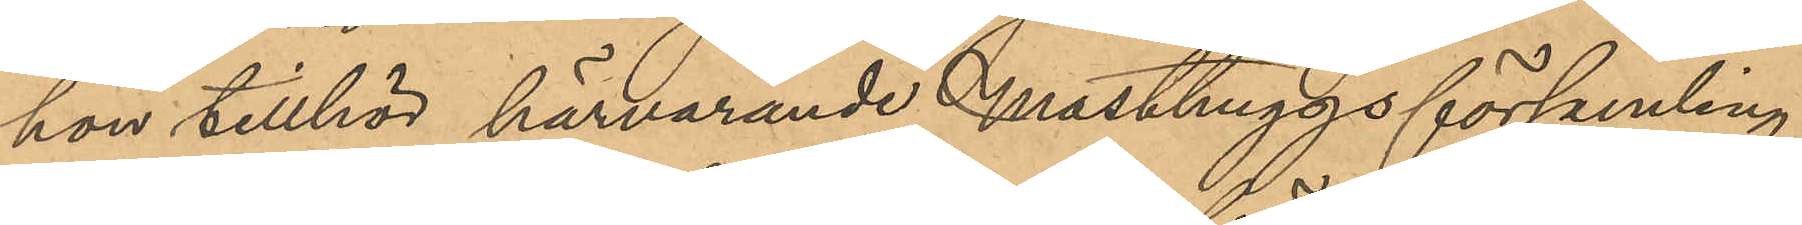hon tillhör härvarande Masthuggs församling.
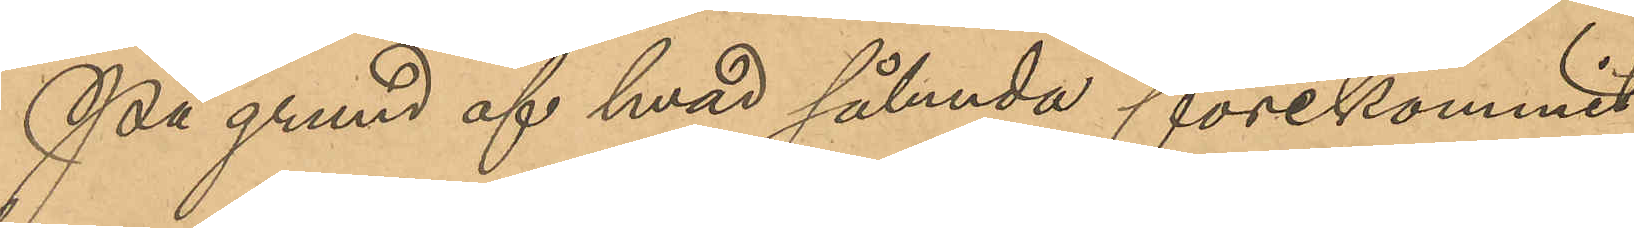På grund af hvad sålunda förekommit
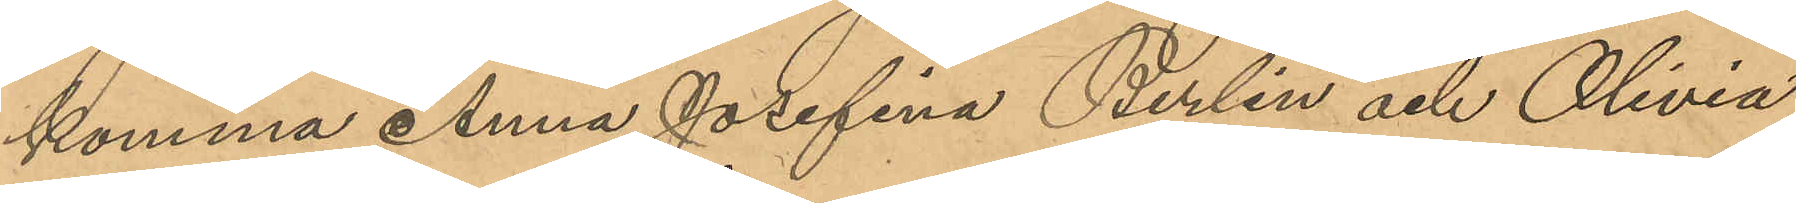komma Anna Josefina Berlin och OLivia
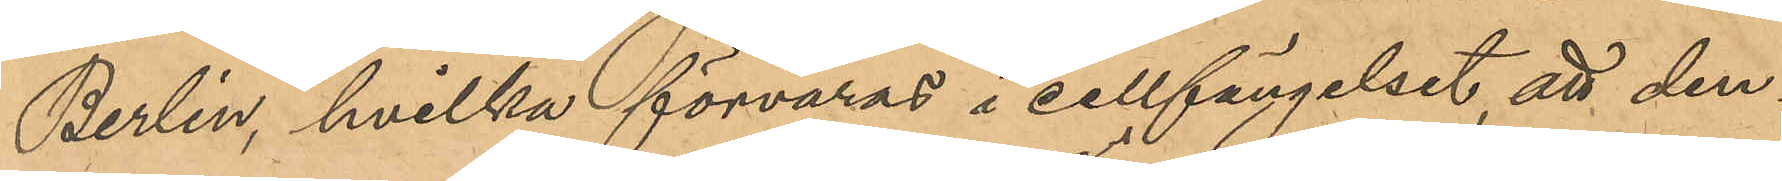Berlin, hvilka förvaras i cellfängelset, att den¬
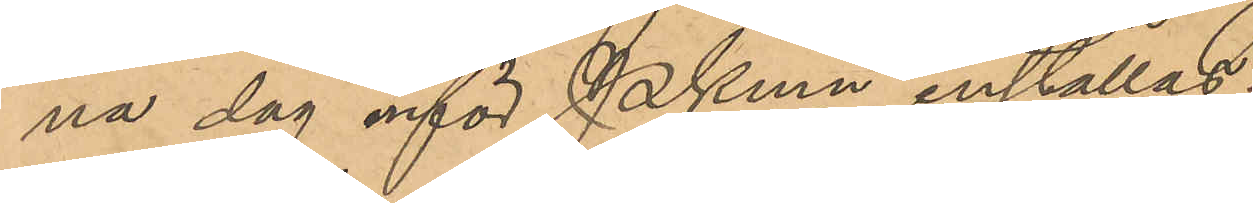na dag inför PKmn inställas.
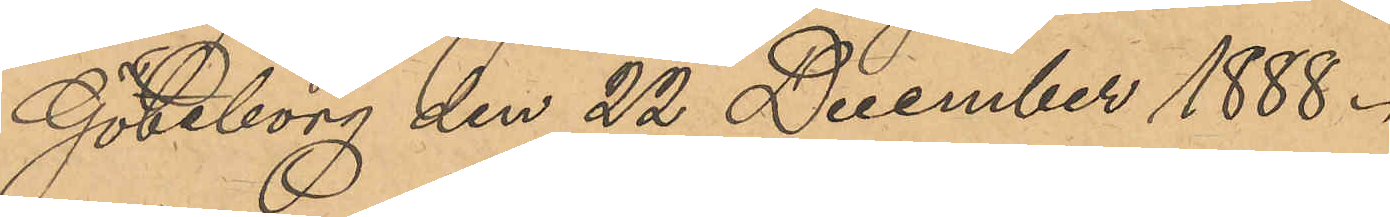Göteborg den 22 December 1888.
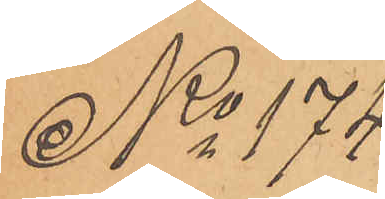No 174.
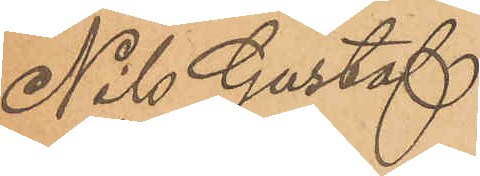Nils Gustaf
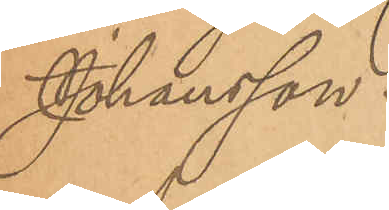Johansson.
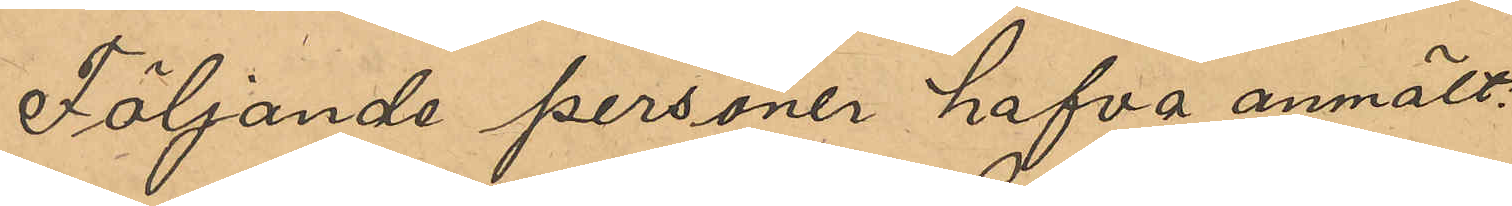Följande personer hafva anmält:
